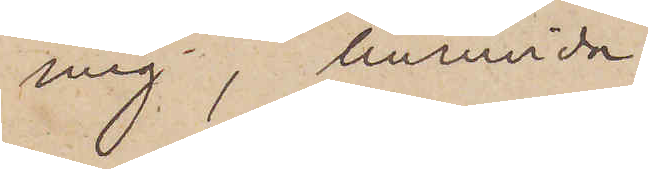mig, huruvida
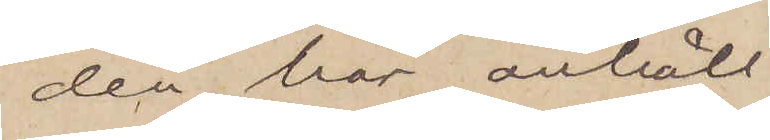den här anhåll¬
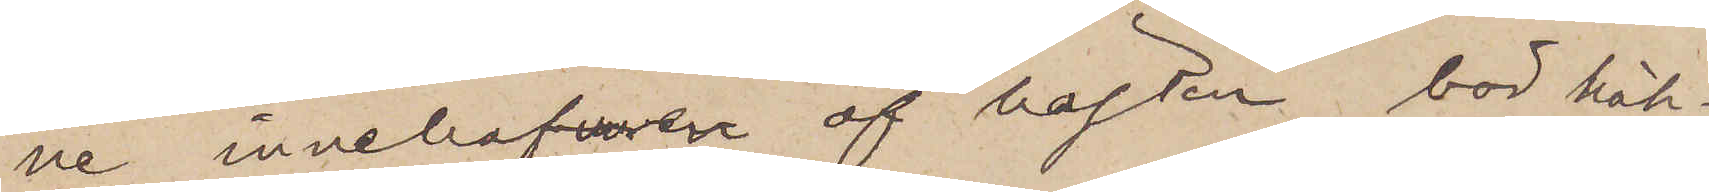ne innehafvaren af hästen bör häk¬
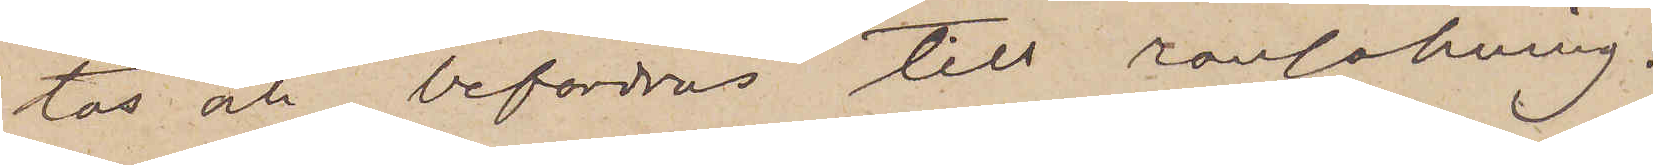tas och befordras till ransakning.
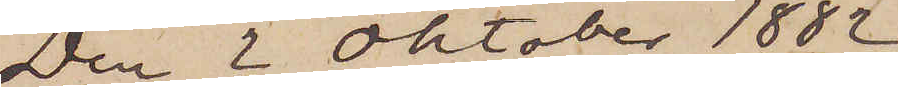Den 2 Oktober 1882
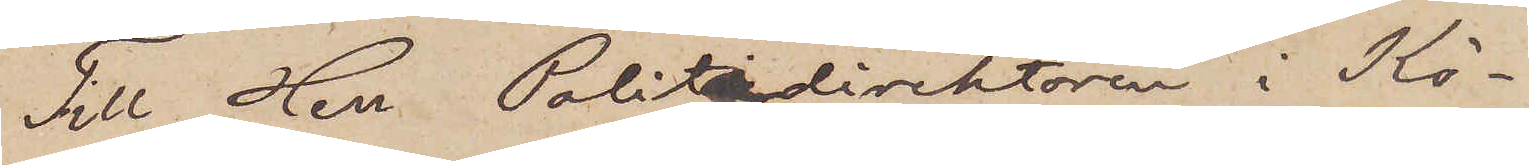Till Herr Politidirektören i Kö¬
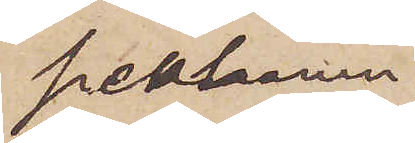penhamn.
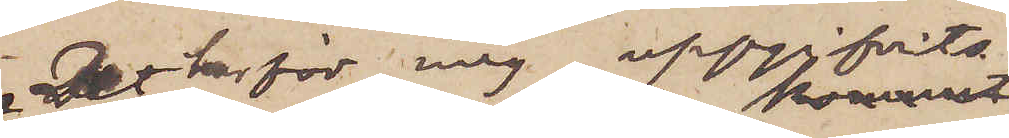Det har för mig uppgifvits,
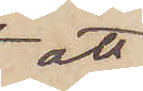att
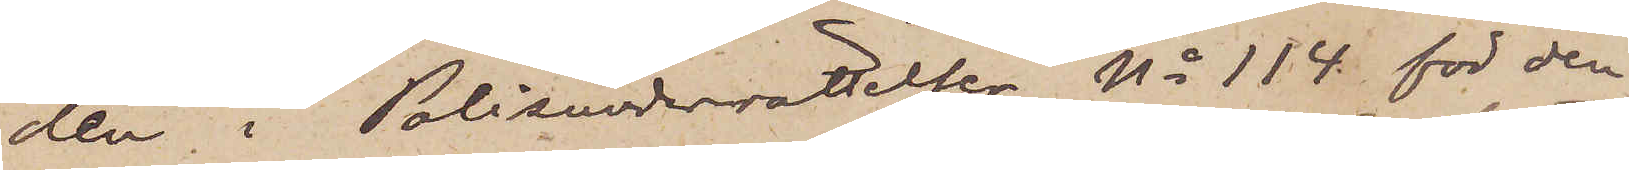den i Polisunderrättelsen No 114 för den
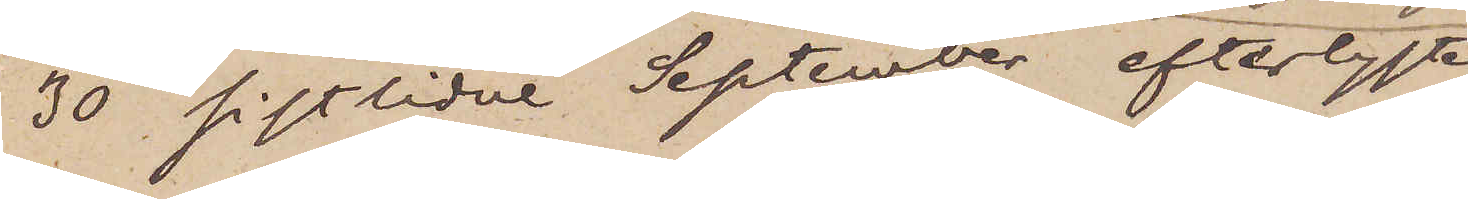30 sistlidne September efterlyste
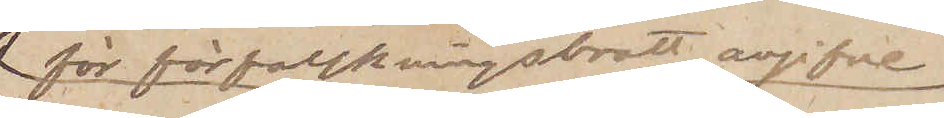för förfalskningsbrott angifve
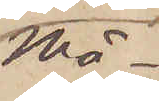Må¬
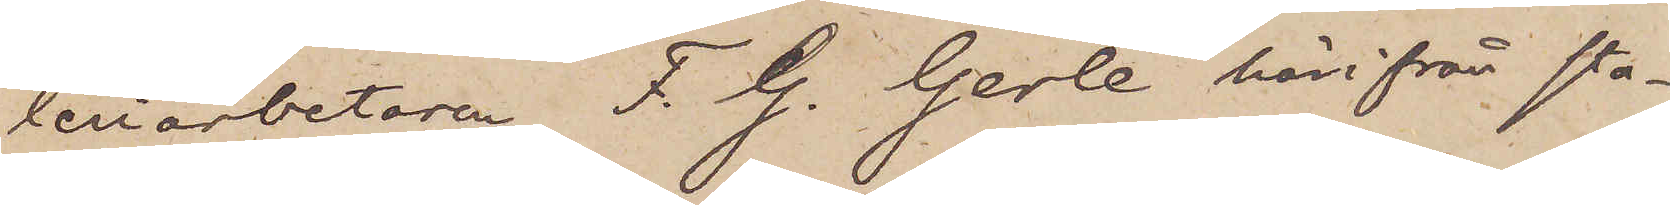leriarbetaren F. G. Gerle härifrån sta¬
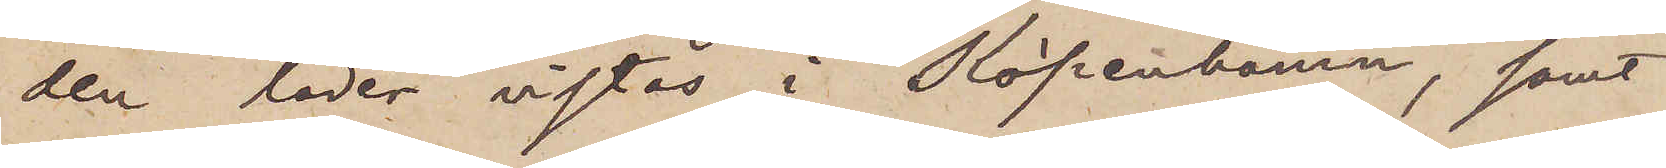den lärer vistas i Köpenhamn, samt
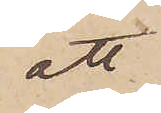att
